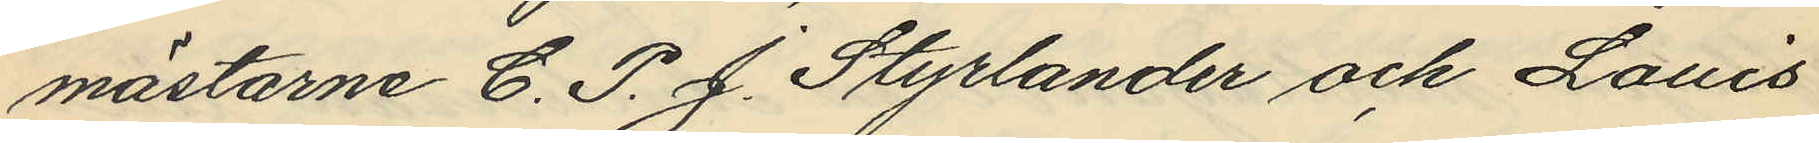mästarne C. P. J. Styrlander och Louis
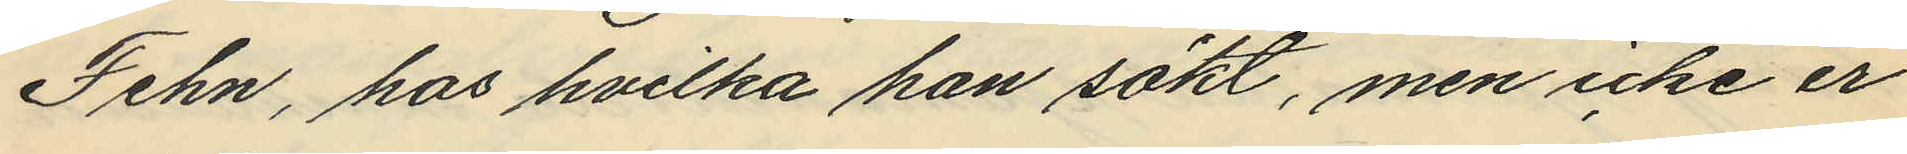Fehn, hos hvilka han sökt, men icke er
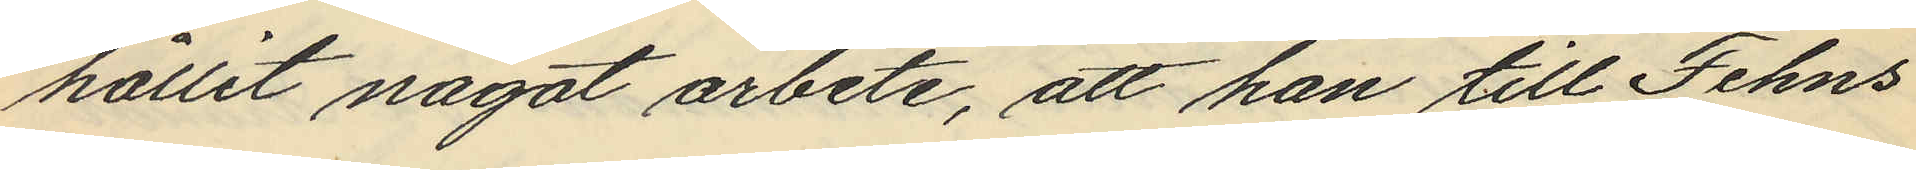hållit något arbete, att han till Fehns
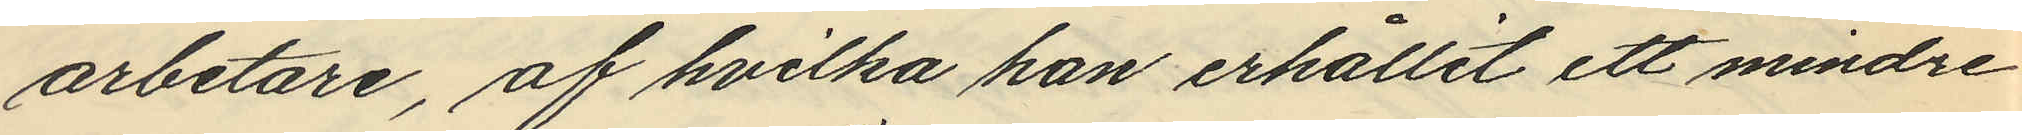arbetare, af hvilka han erhållit ett mindre
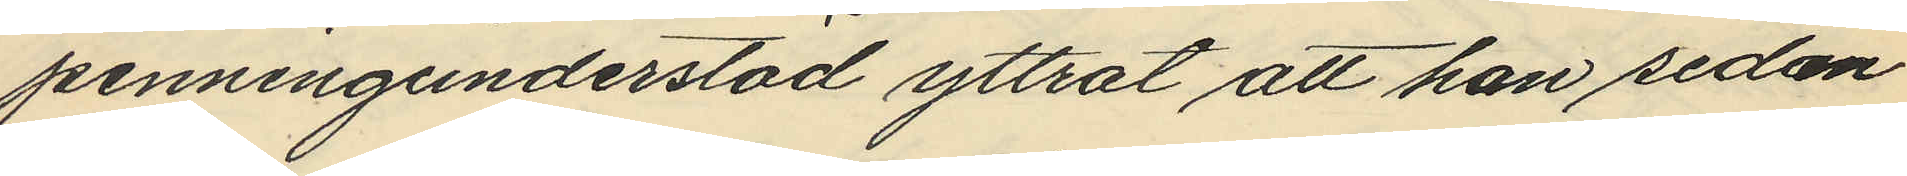penningunderstöd yttrat att han sedan
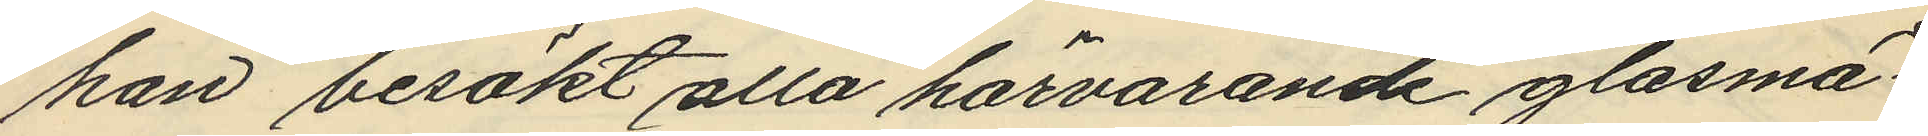han besökt alla härvarande glasmä¬
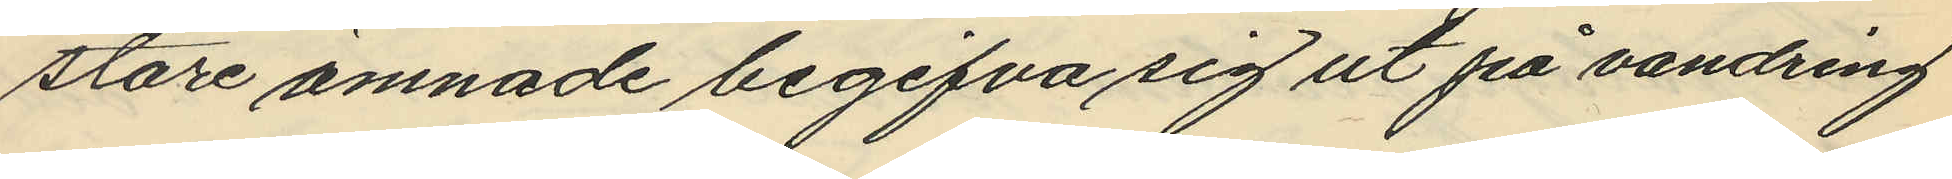stare ämnade begifva sig ut på vandring
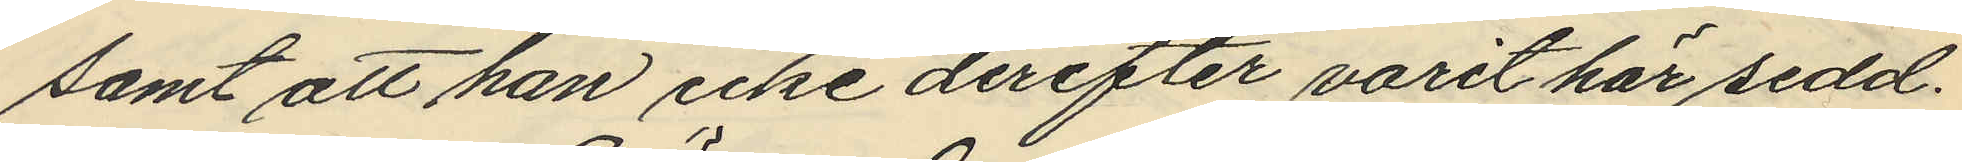samt att han icke derefter varit här sedd.
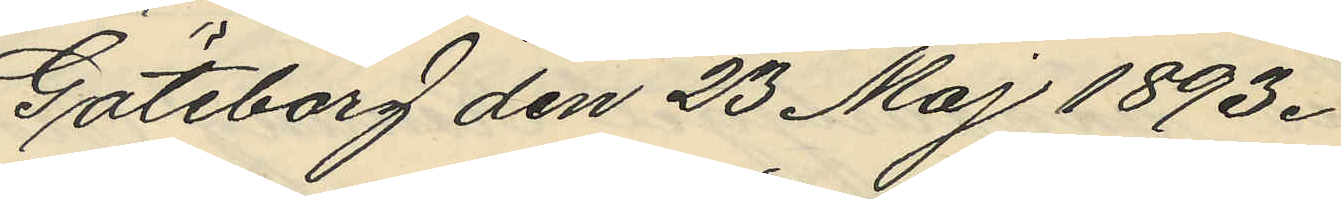Göteborg den 23 Maj 1893.
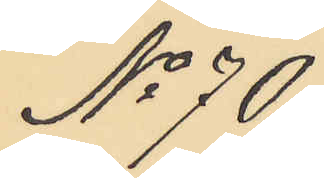No 70
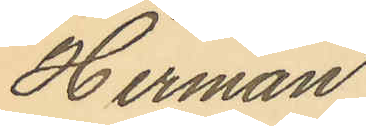Herman
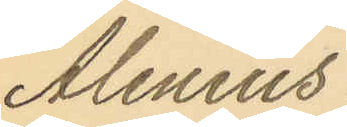Alenius
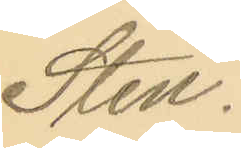Sten.
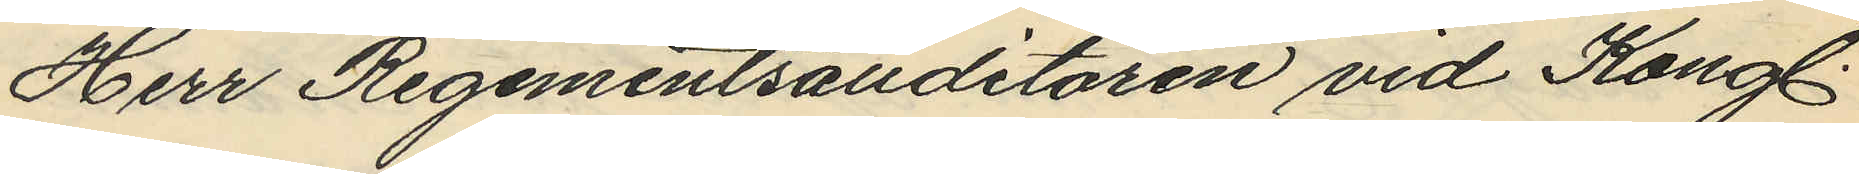Herr Regementsauditören vid Kongl.
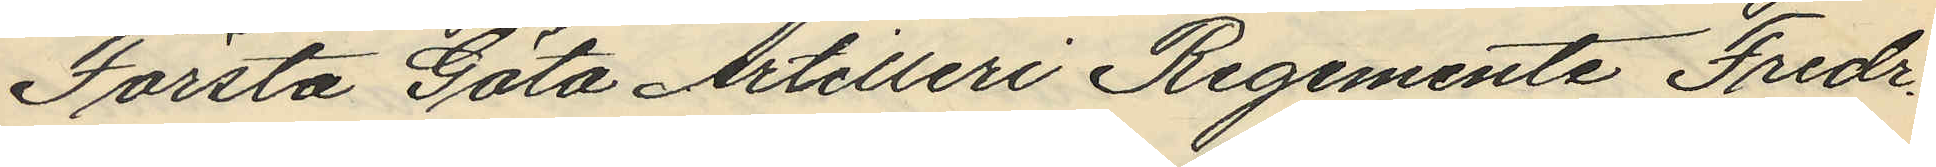Första Göta Artilleri Regemente Fredr.
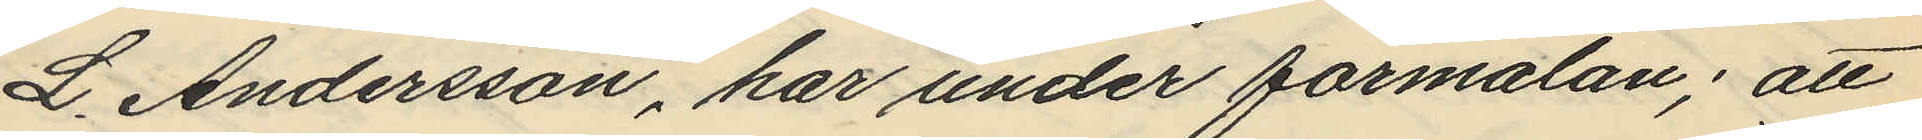L. Andersson, har under förmälan; att
